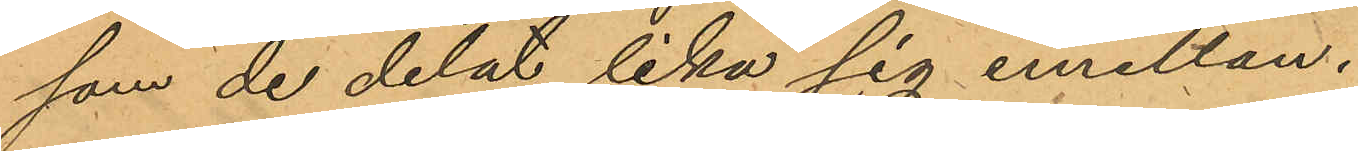som de delat lika sig emellan.
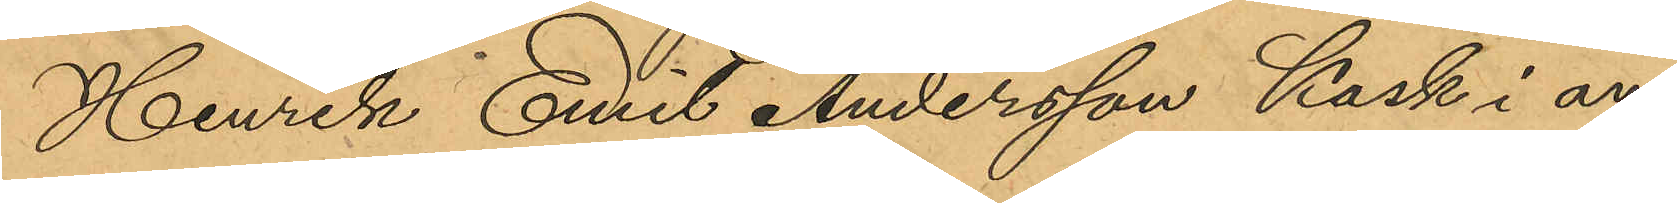Henrik Emil Andersson Kask i an¬
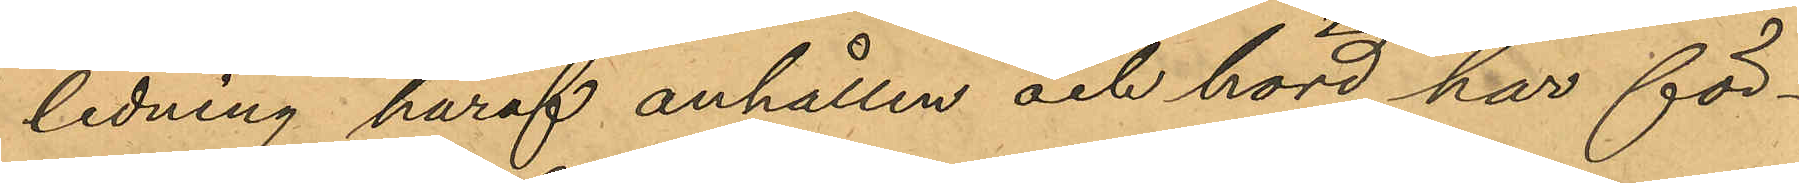ledning häraf anhållen och hörd har för¬
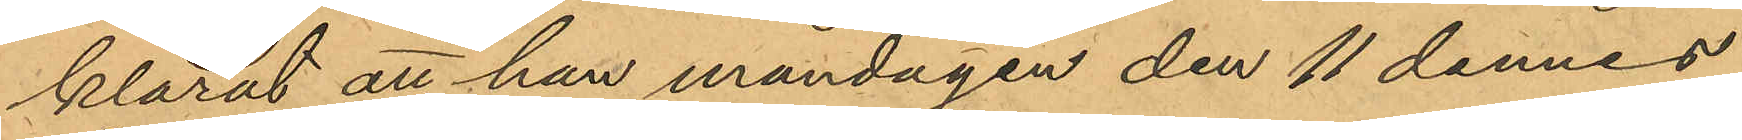klarat att han måndagen den 11 dennes
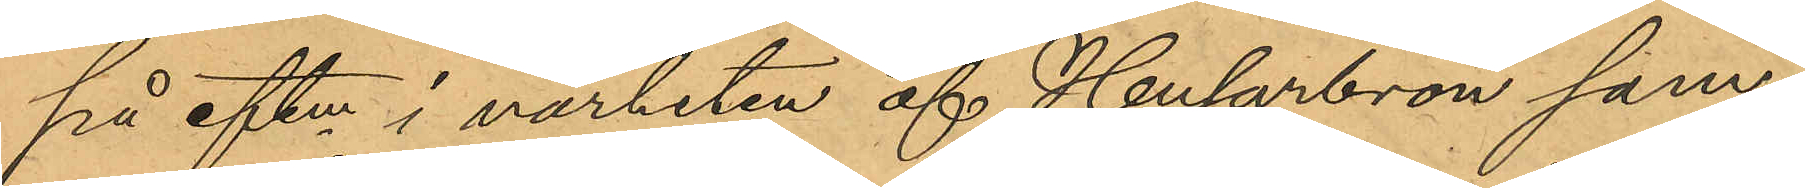på eftm i närheten af Husarbron sam¬
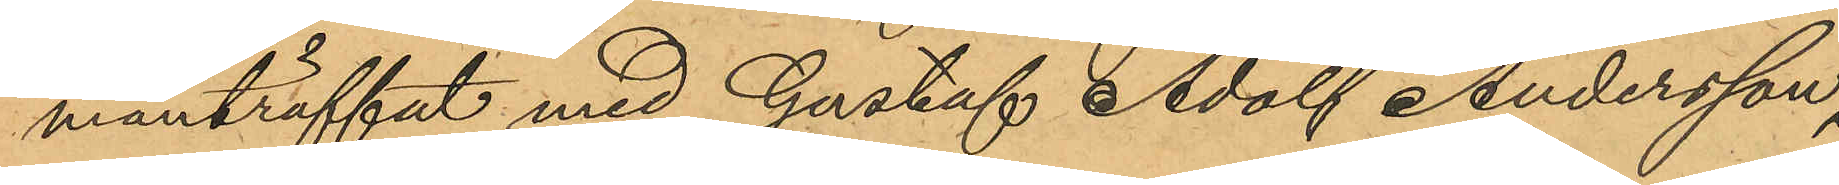manträffat med Gustaf Adolf Andersson,
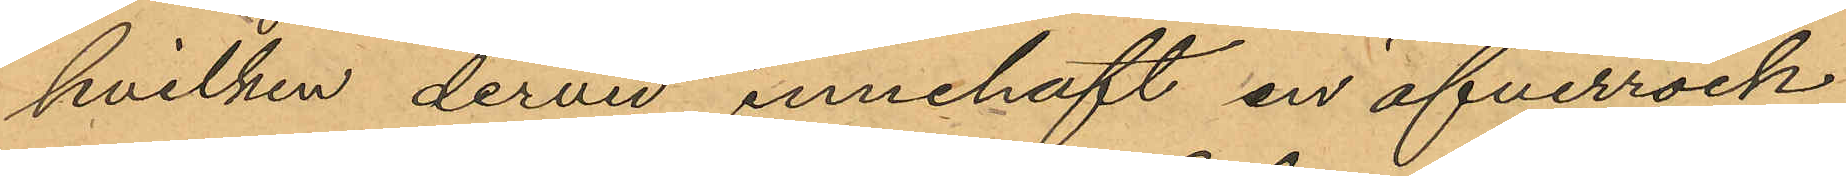hvilken dervid innehaft en öfverrock
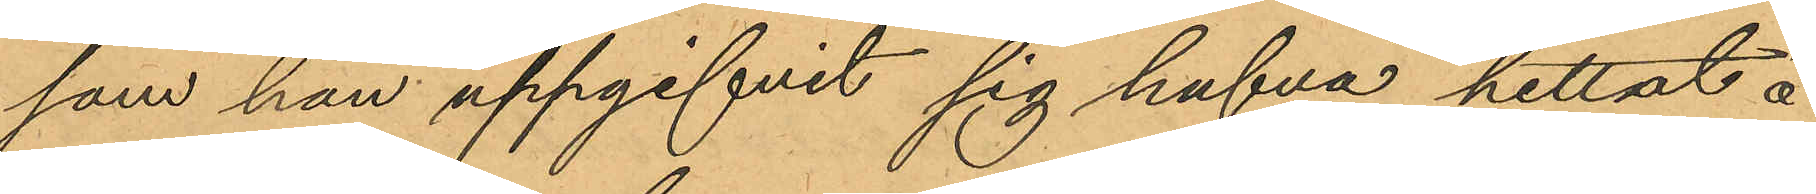som han uppgifvit sig hafva hittat å
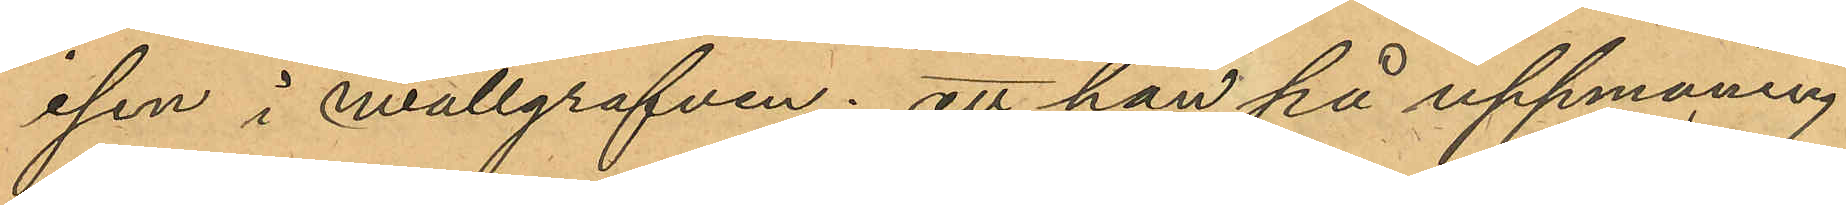isen i wallgrafven; att han på uppmaning
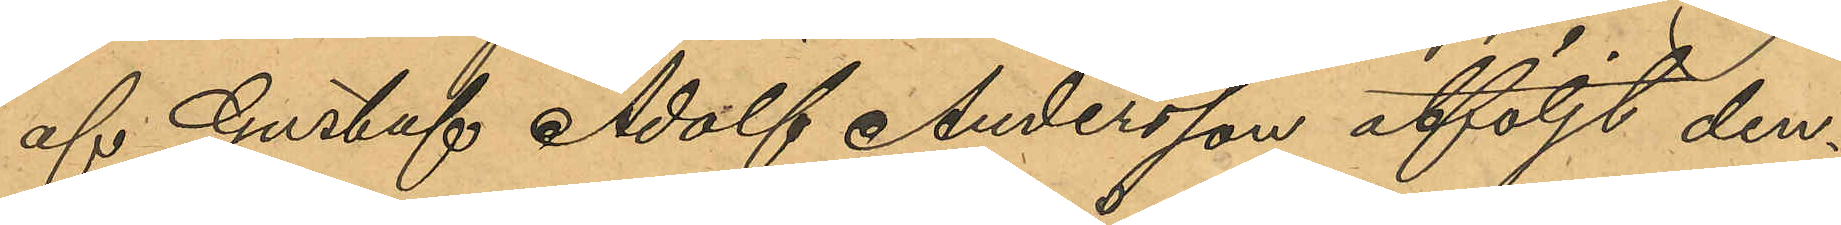af Gustaf Adolf Andersson åtföljt den¬
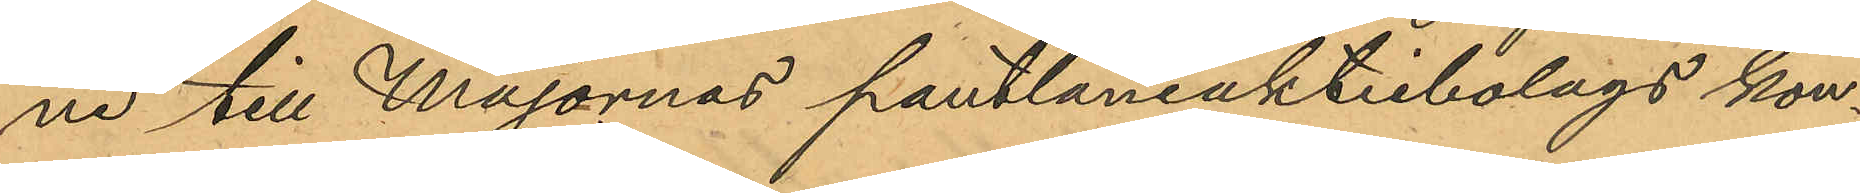ne till Majornas pantlåneaktiebolags kon¬
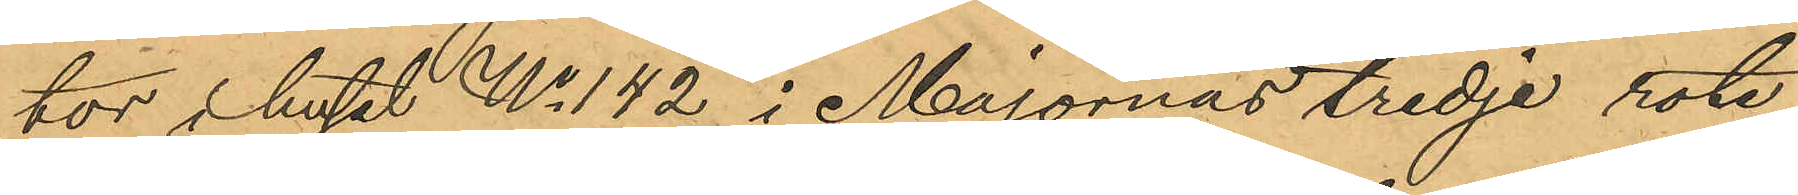tor i huset No 142 i Majornas tredje rote,
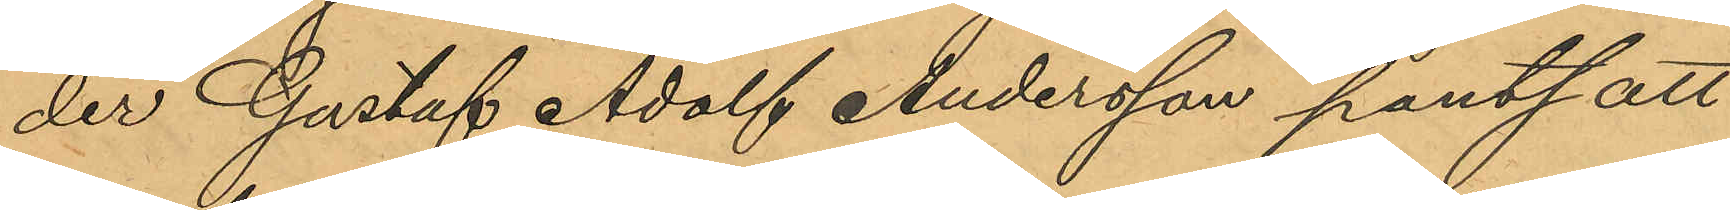der Gustaf Adolf Andersson pantsatt
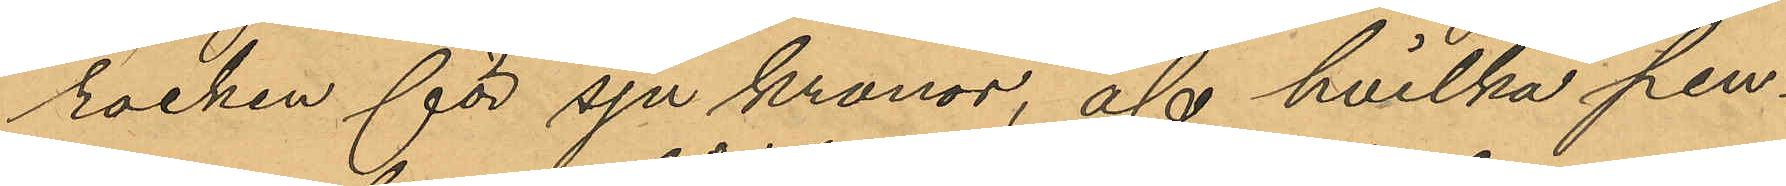rocken för sju kronor, af hvilka pen¬
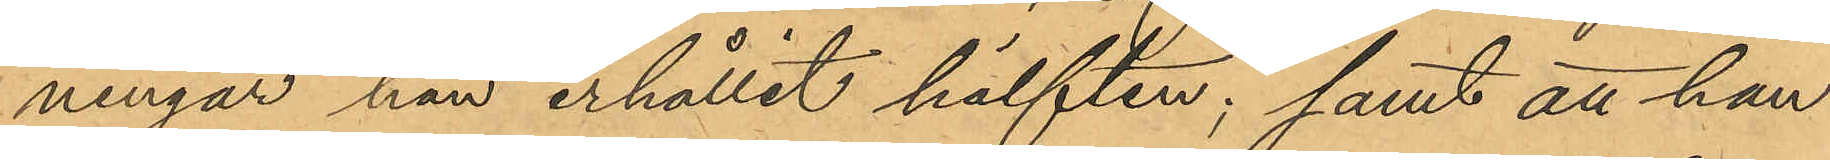ningar han erhållit hälften; samt att han
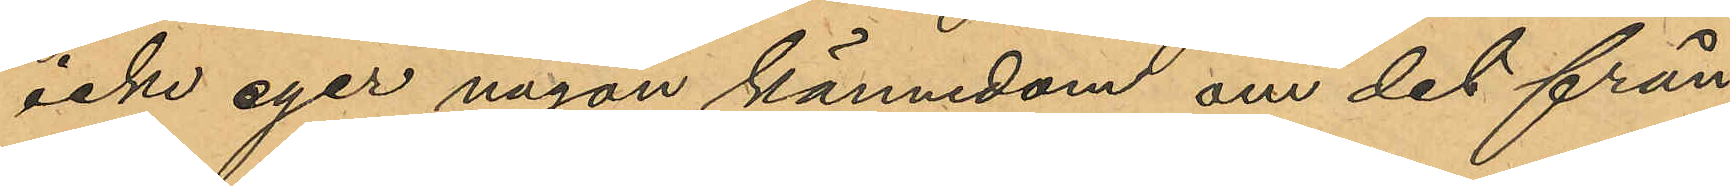icke eger någon kännedom om det från
